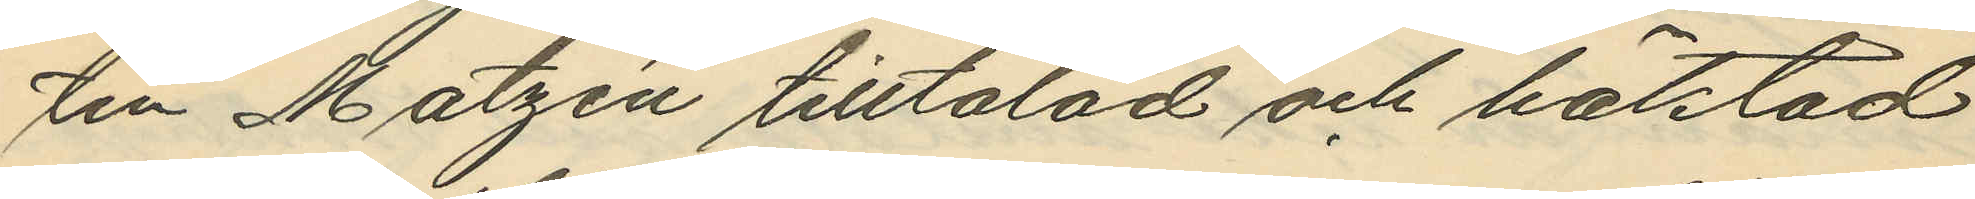tin Matzén tilltalad och häktad
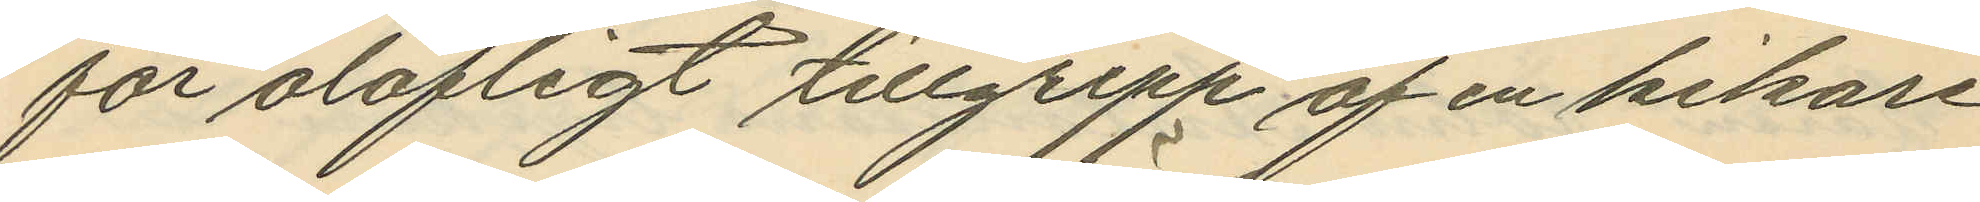för olofligt tillgrepp af en kikare
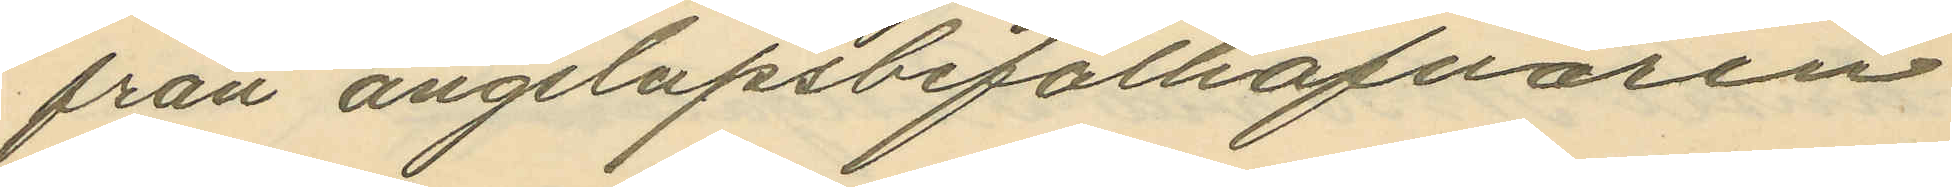från ångslupsbefälhafvaren
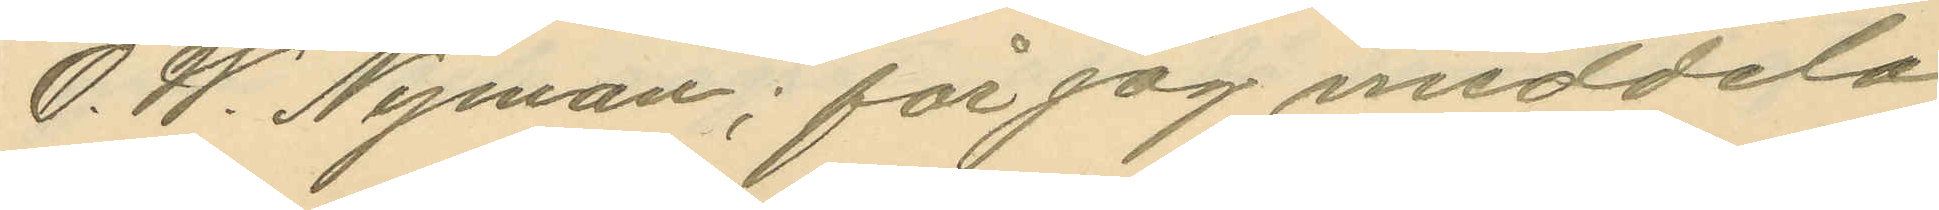O. W. Nyman; får jag meddela
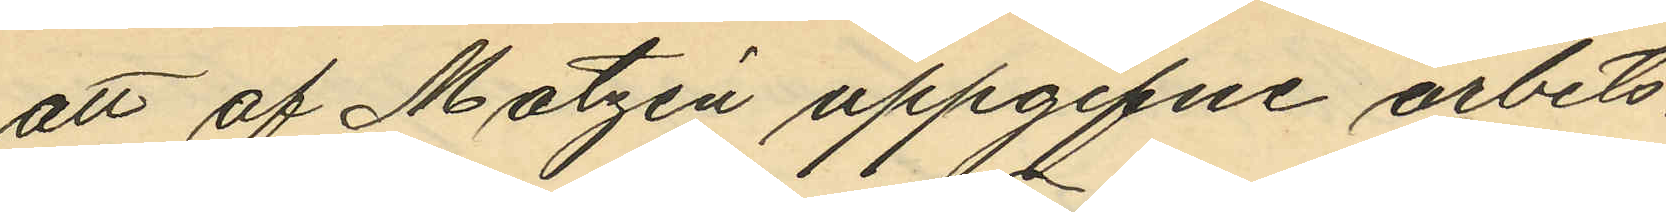att af Matzén uppgifne arbets¬
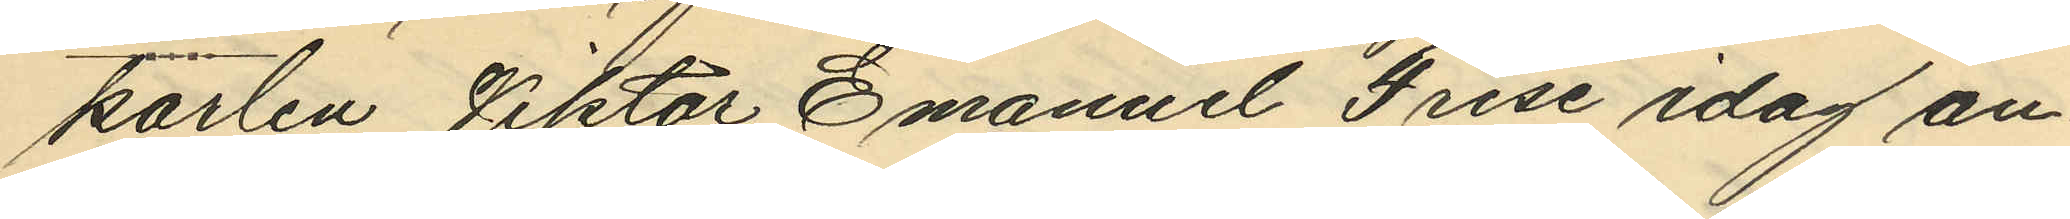karlen Viktor Emanuel Frise idag an¬
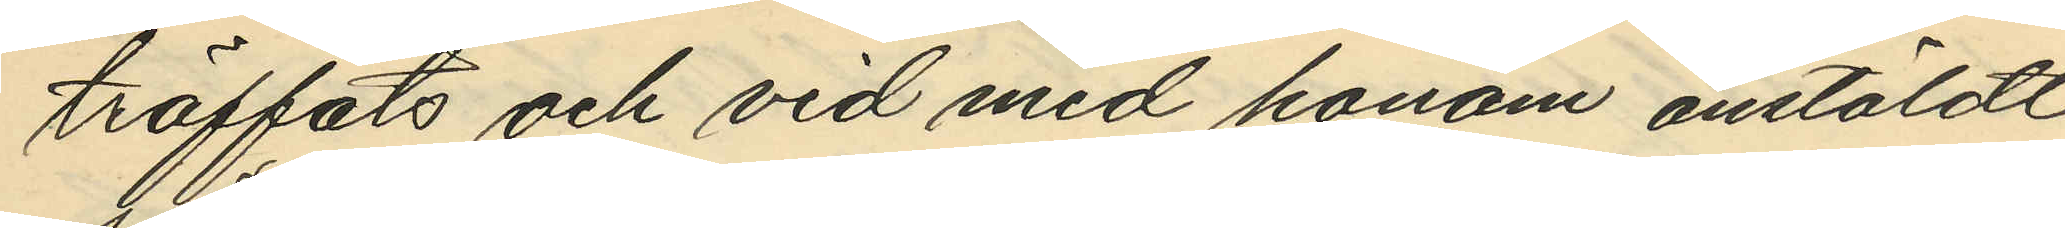träffats och vid med honom anstäldt
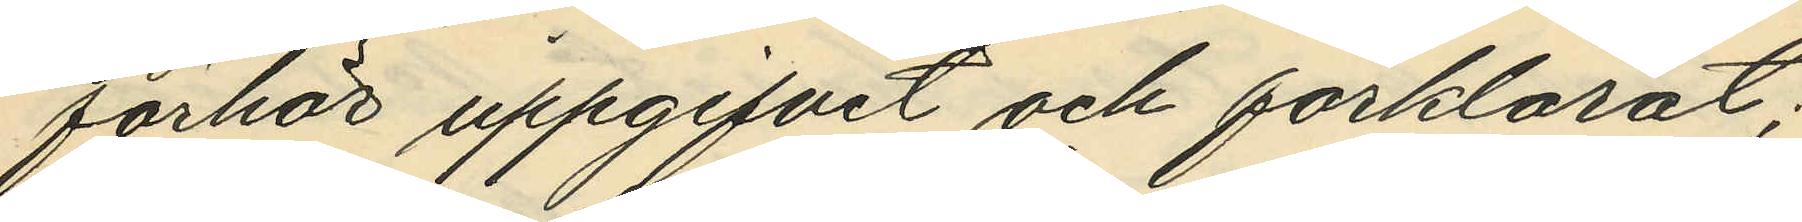förhör uppgifvit och förklarat;
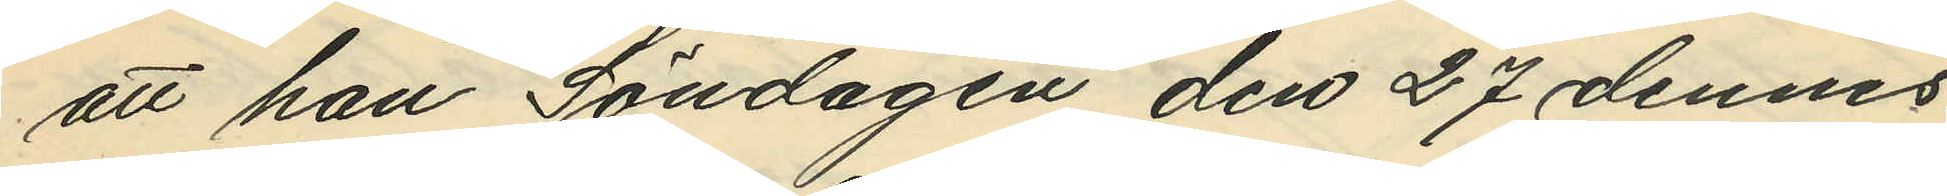att han Söndagen den 27 dennes
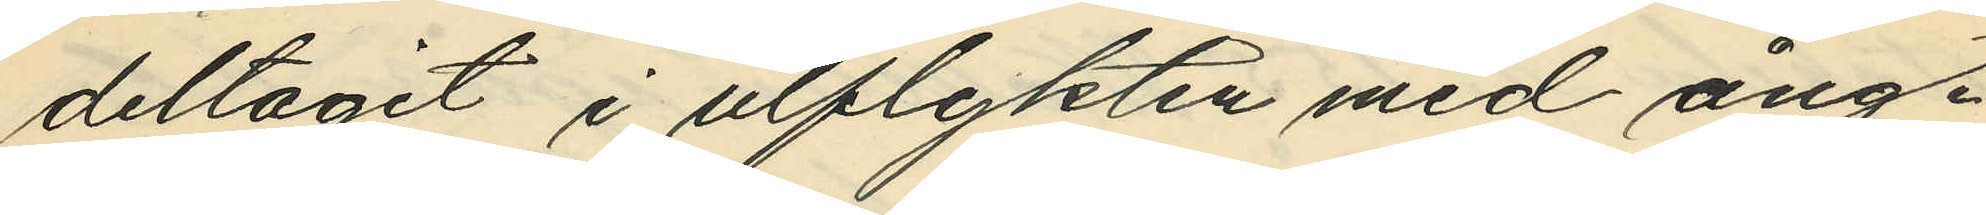deltagit i ulflykten med ång¬
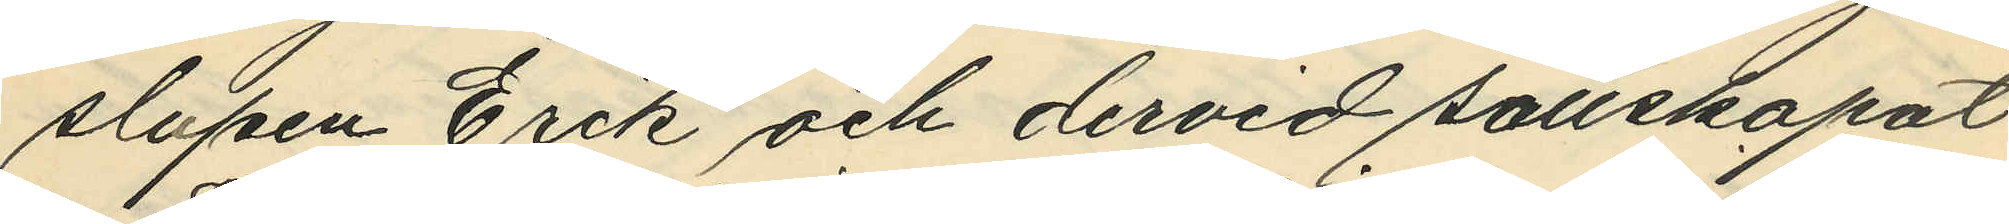slupen Erik och dervid sällskapat
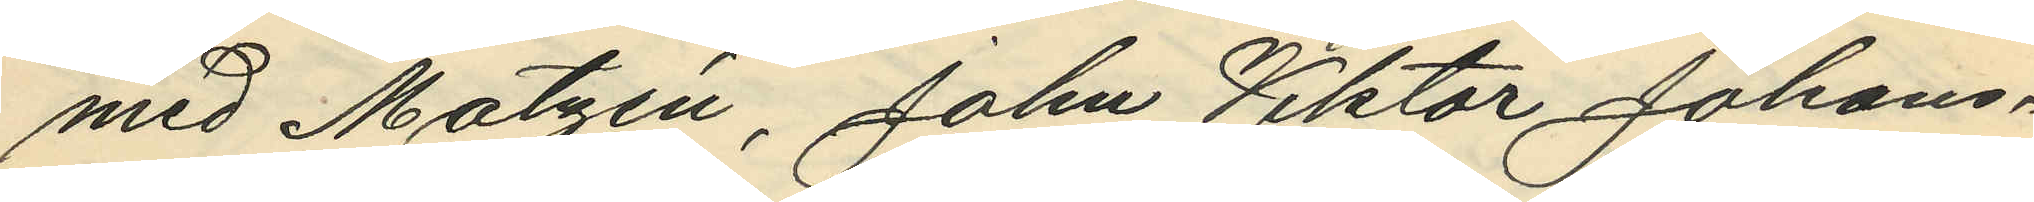med Matzén, John Viktor Johans¬
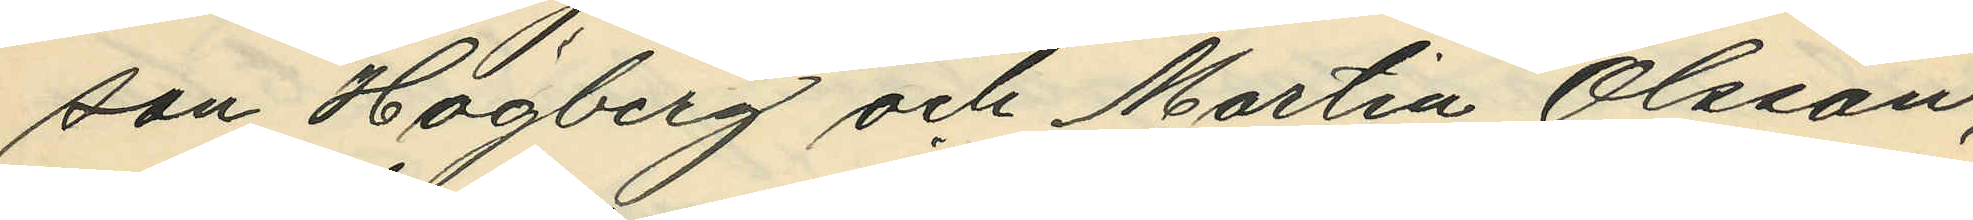son Högberg och Martin Olsson;
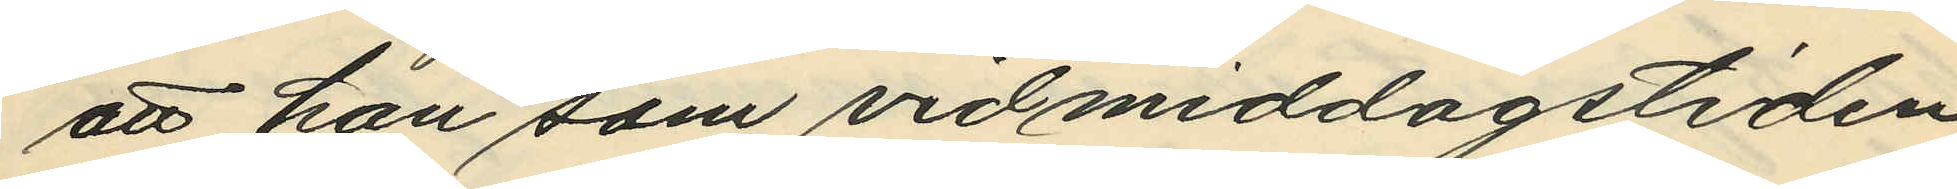att han som vid middagstiden
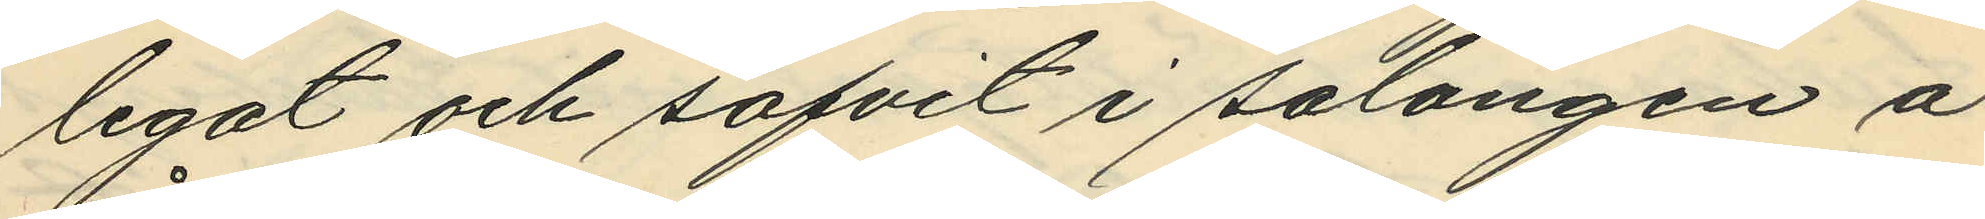legat och sofvit i salongen å
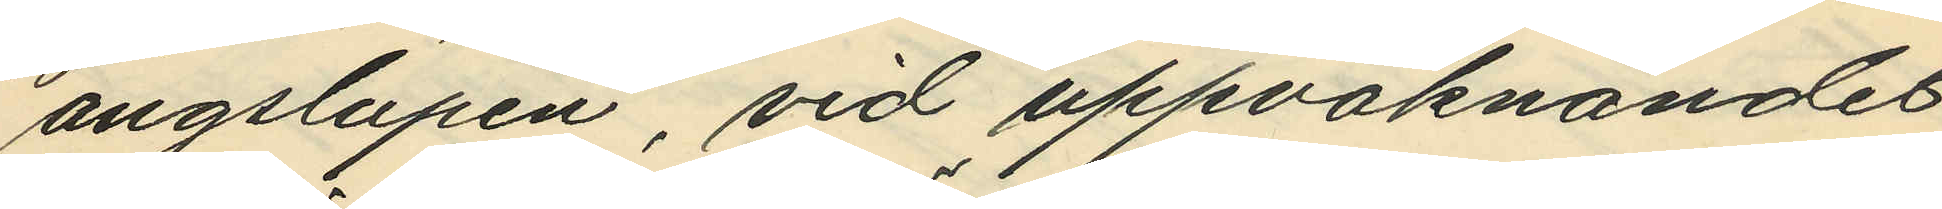ångslupen, vid uppvaknandet
